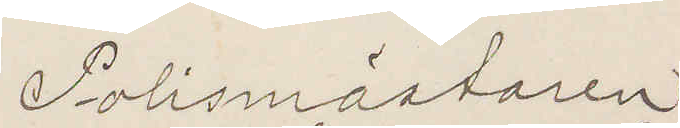Polismästaren
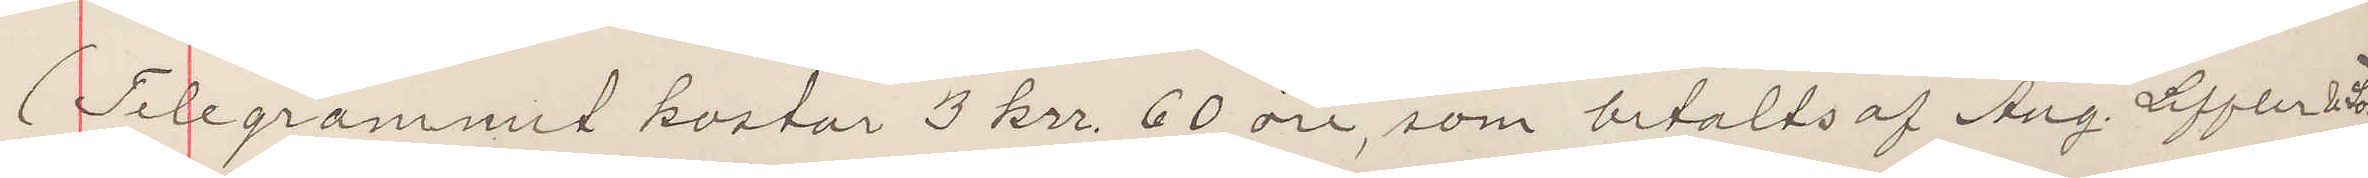(Telegrammet kostar 3 krr 60 öre, som betalts af Aug Leffler & Son)
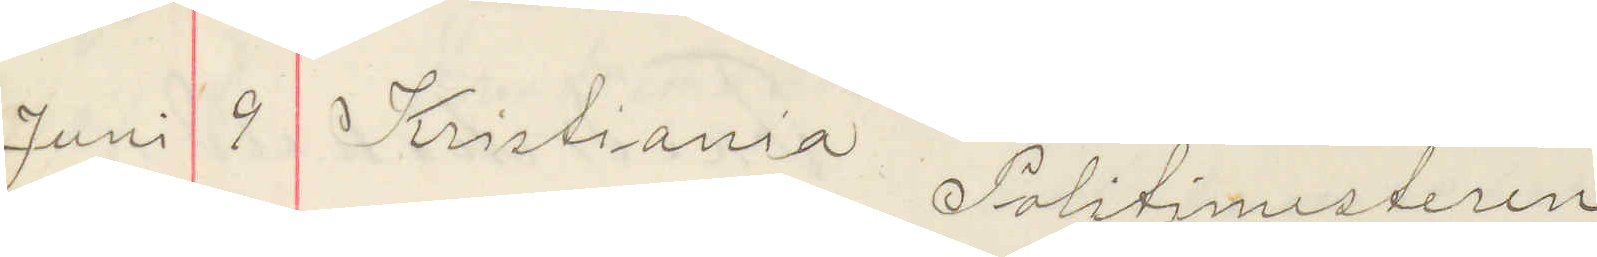Juni 9 Kristiania Politimesteren
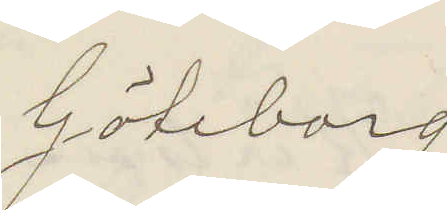Göteborg
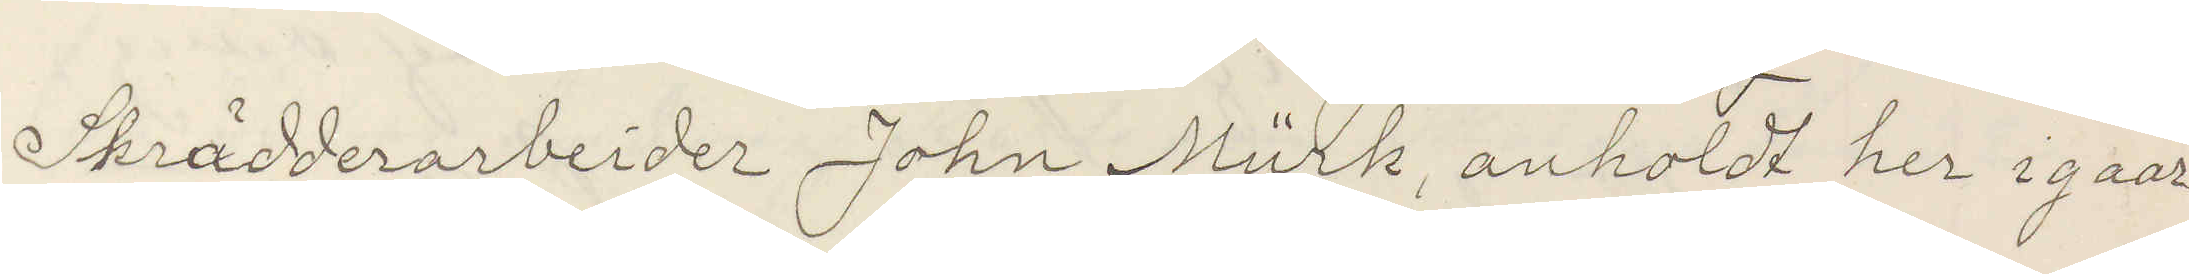Skrädderiarbeider Johan Mürk, anholdt her igaar
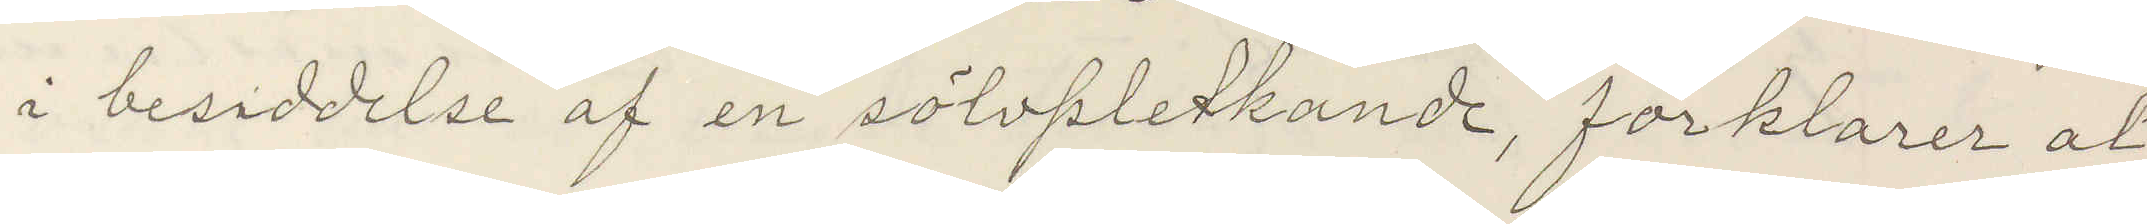i besiddelse af en sölvpletkande, förklarer at
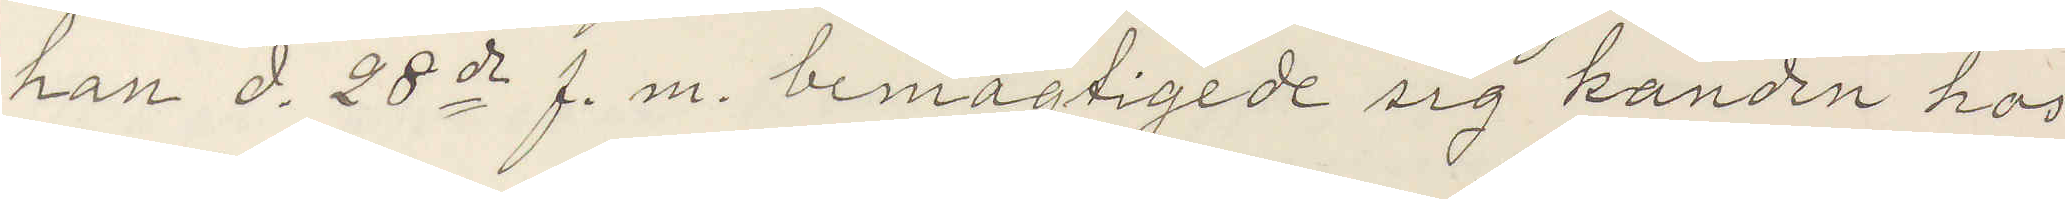han d. 28 ds f. m. bemägtigede sig kanden hos
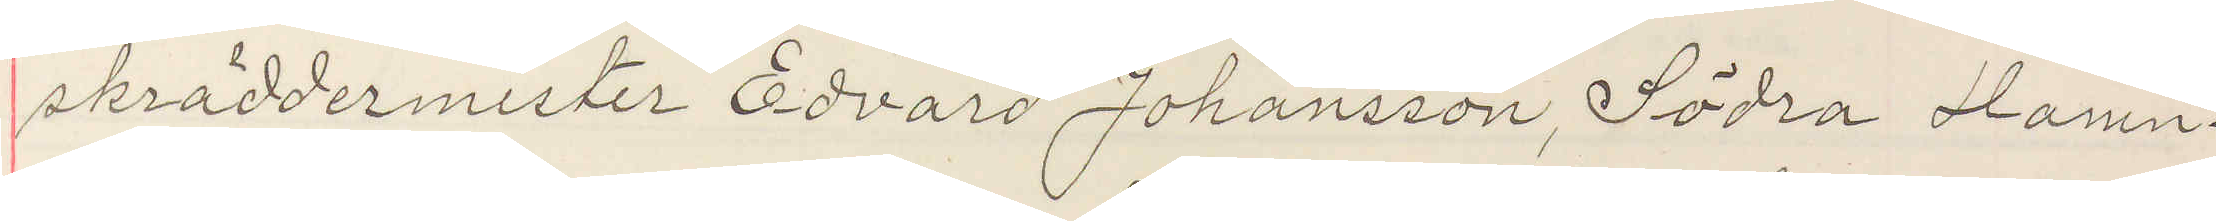skräddermester Edvard Johansson, Södra Hamn¬
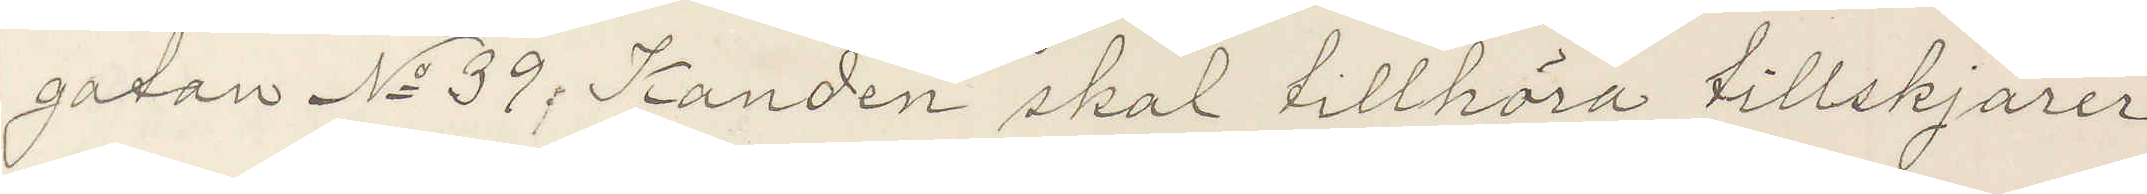gatan No 39. Kanden skal tillhöra tillskjärer
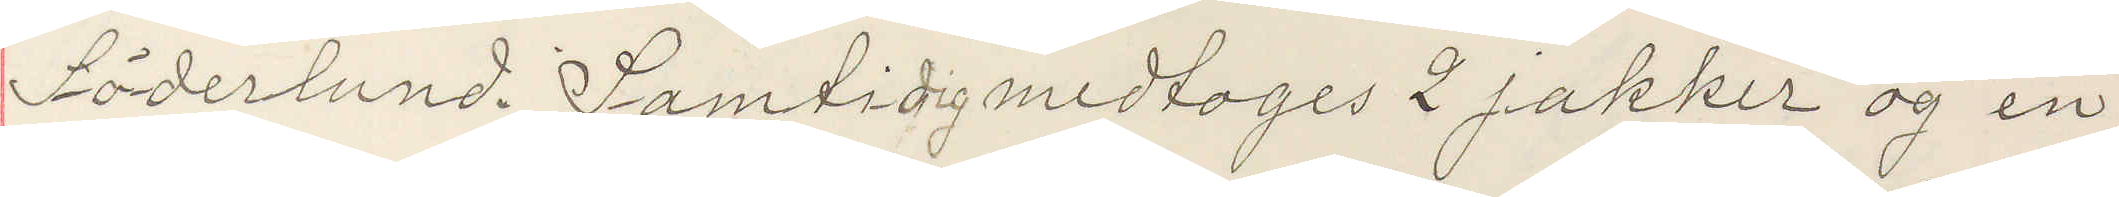Söderlund. Samtidig medtages 2 jakker og en
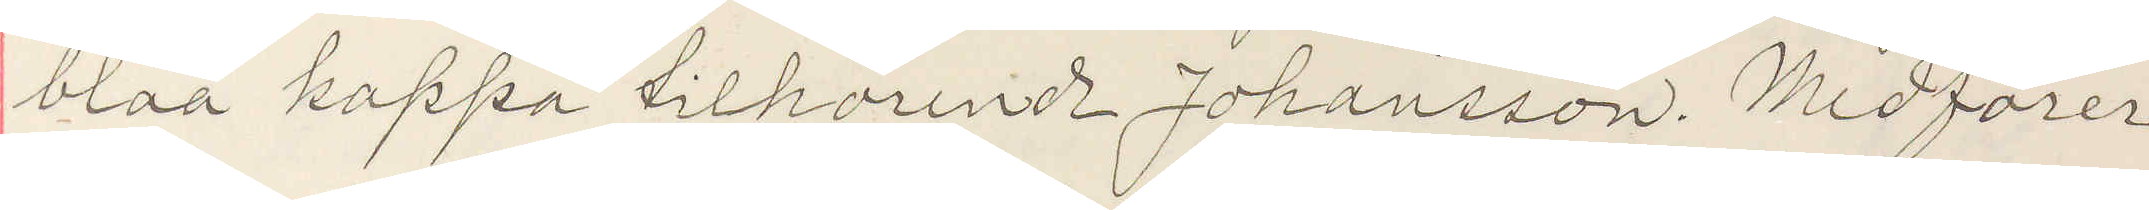blaa kappa tillhörende Johansson. Medförer
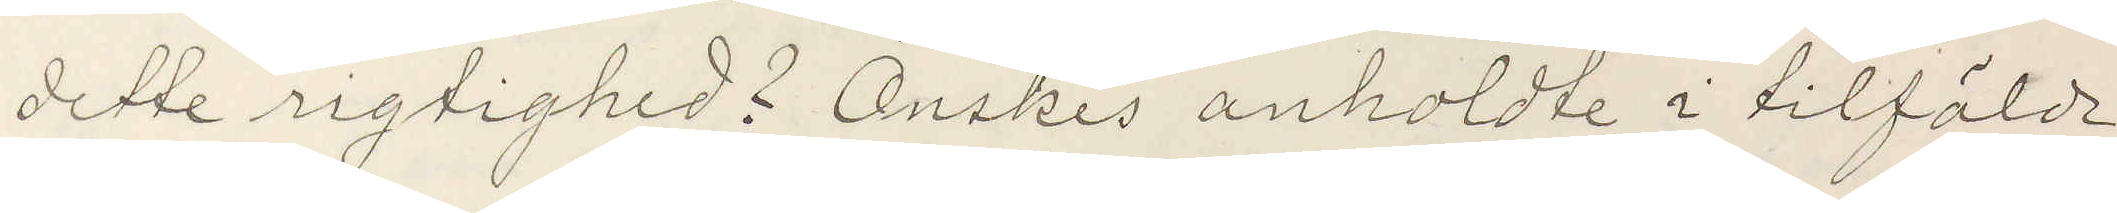dette rigtighed? Önskes anholdte i tilfälde
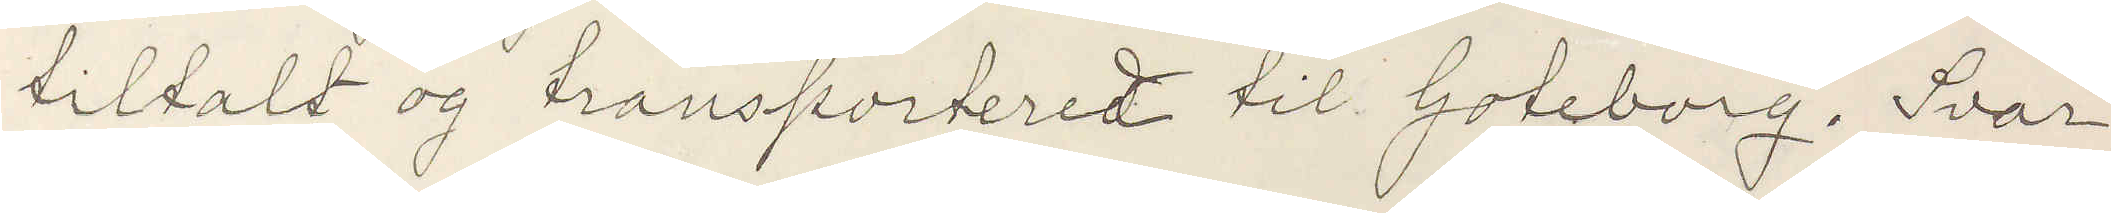tiltalt og transporteredt til Goteborg. Svar
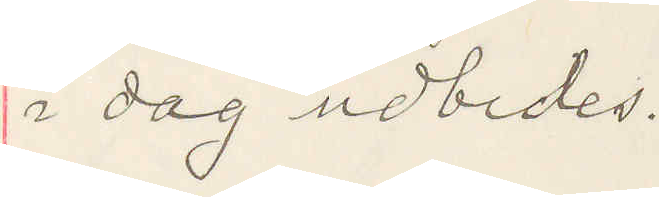i dag udbedes.
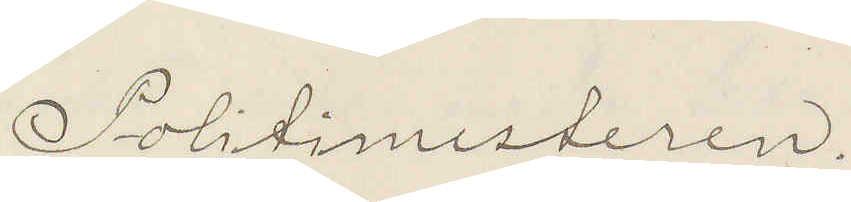Politimesteren.
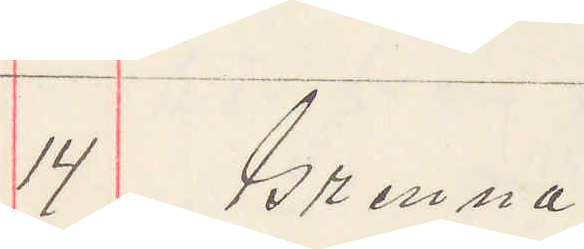14 Grenna.
